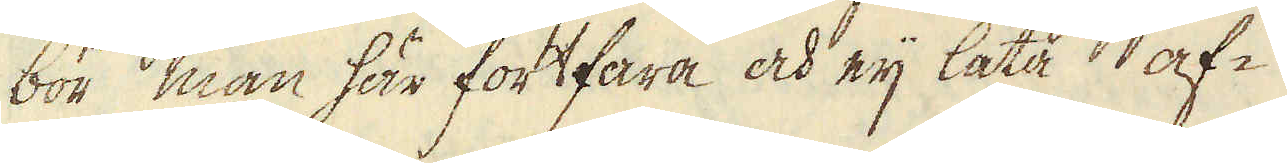bör man här fortfara och eij låta af-
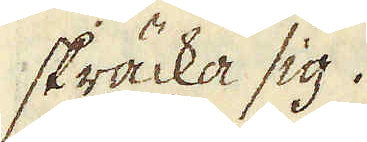skräcka sig.
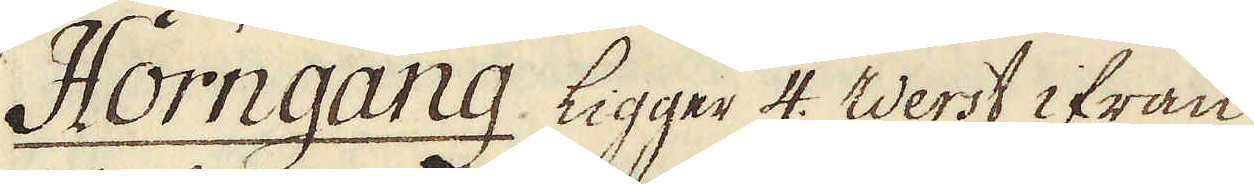Horngang ligger 4. Werst ifrån
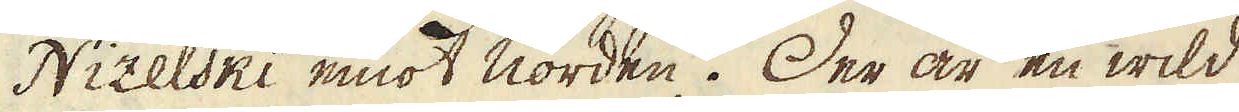Nizelski emot norden. Der är en wild
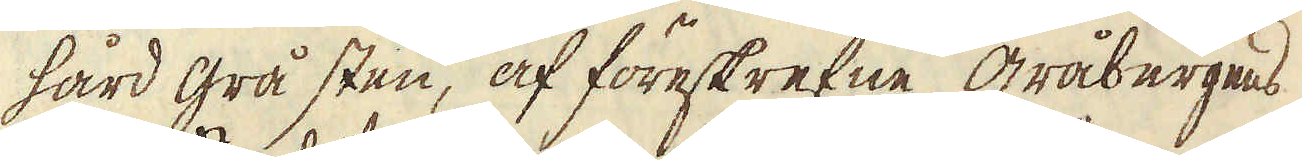hård grå sten, af föreskrefne gråbergens
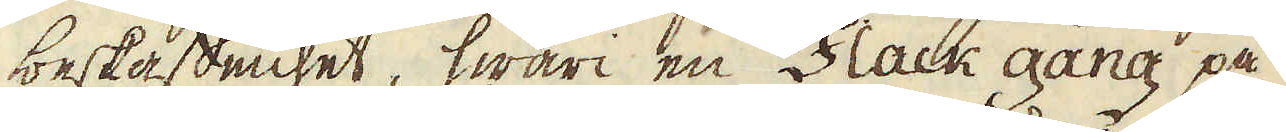beskaffenhet, hwari en Flack gång på
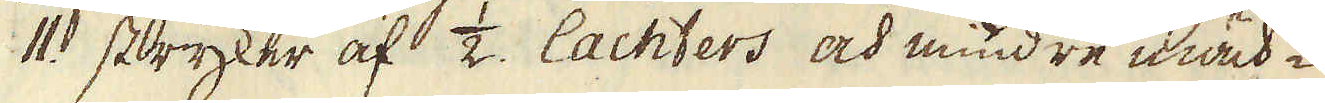11 stryker af 1/2 lachters och mindre mäch-
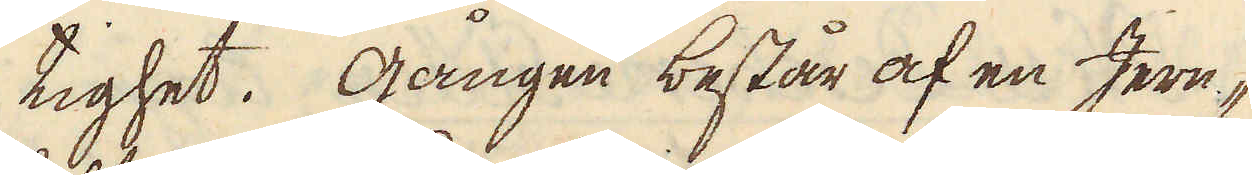tighet. Gången består af en Jern-
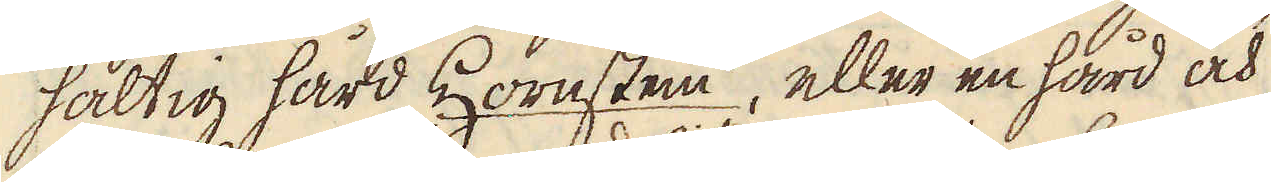haltig hård Hornsten, eller en hård och
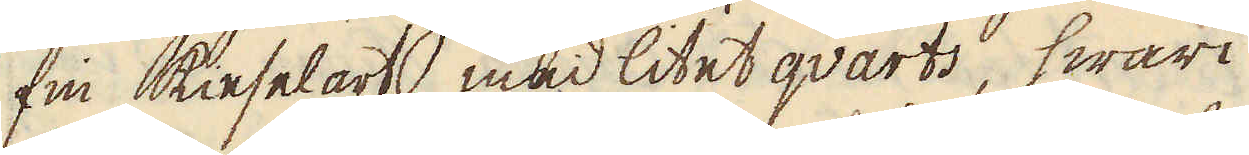fin kieselart med litet qvarts, hwari
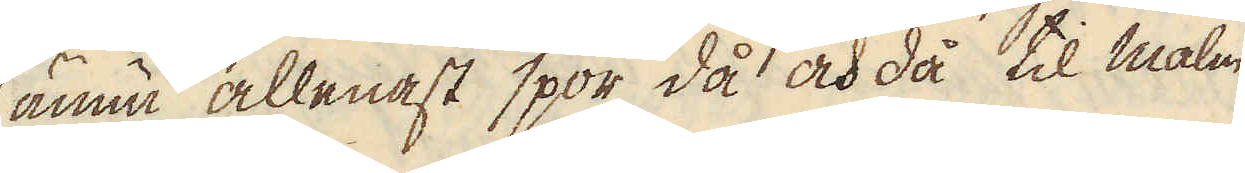ännu allenast spor då och då til malm
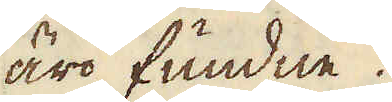äro fundne.
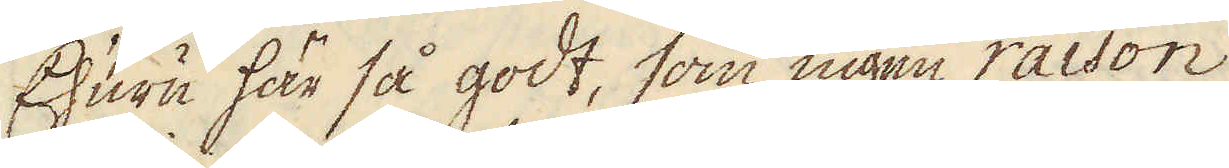Ehuru här så godt, som ingen raison
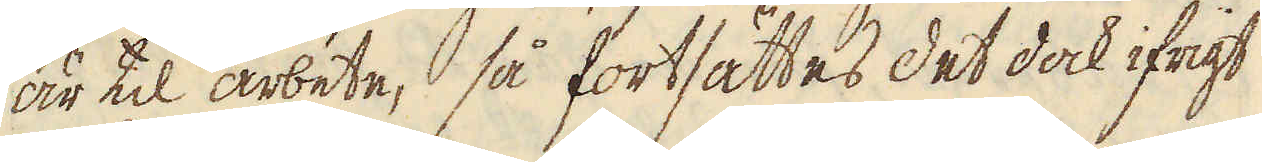är til arbete, så fortsättes det dock ifrigt
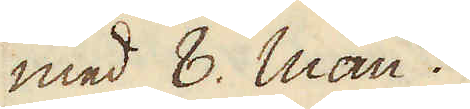med 8. man.
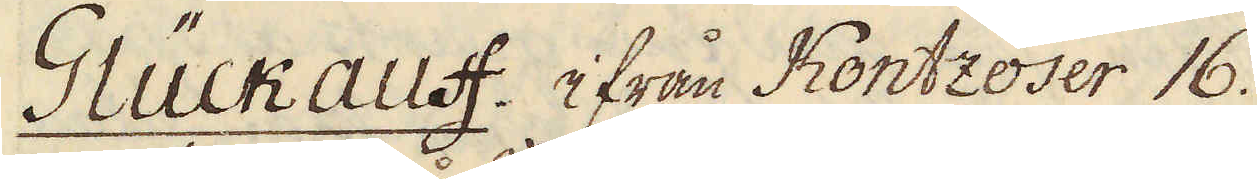Glückauff ifrån Kontzoser 16.
